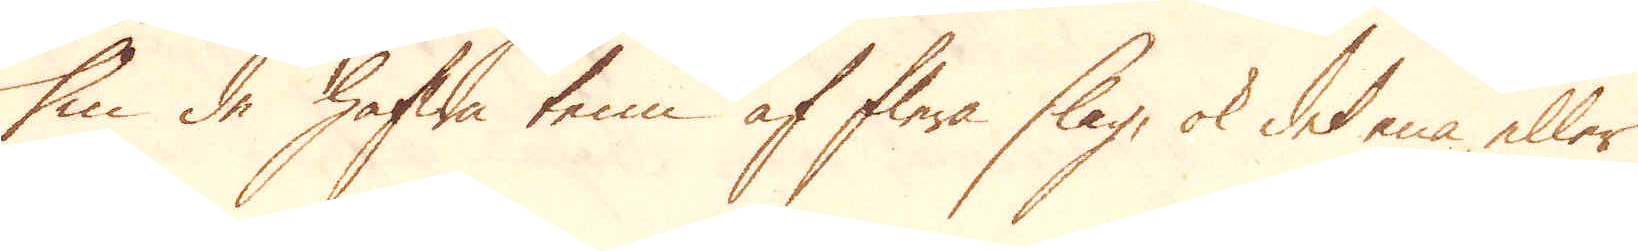Om de hafwa tenn af flera slag, ok det ena eller
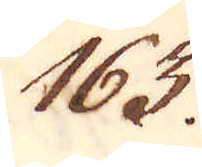163.
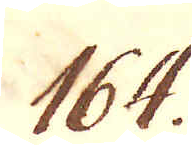164.
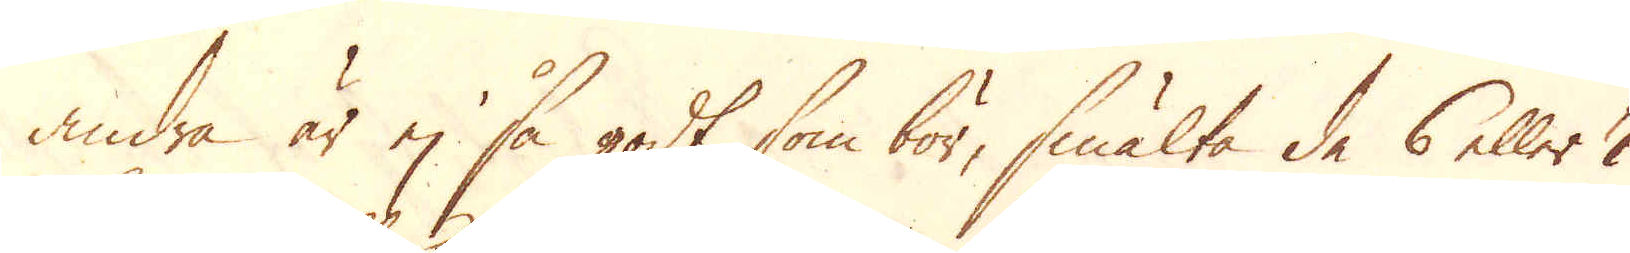andra är ej så godt som bör, smälta de 6 eller 7
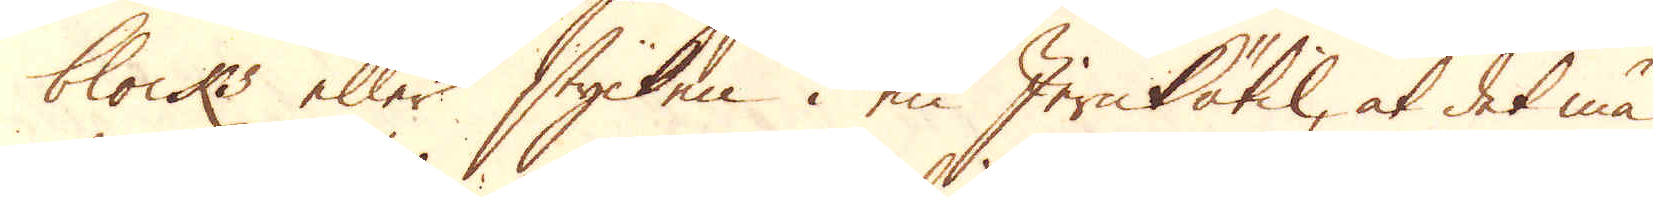blocks eller stycken i en Jernkätil, at det må
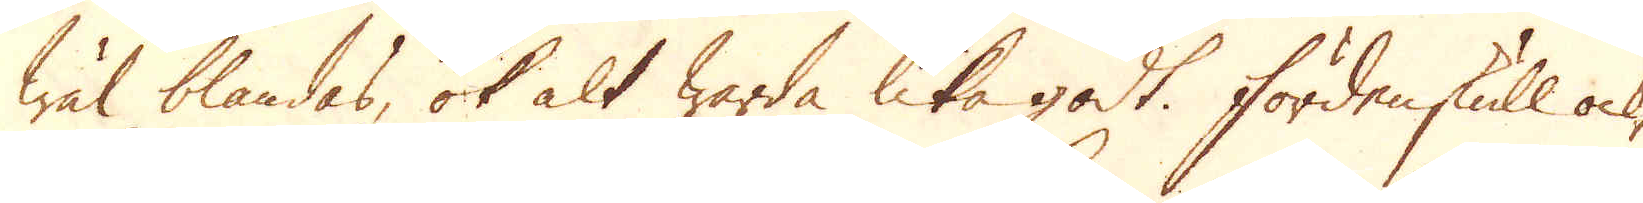wäl blandas, ok alt warda lika godt. Fördenskull ock,
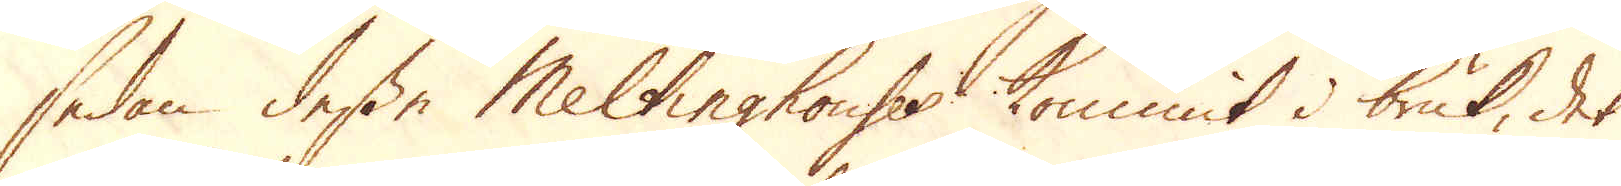sedan desse Meltinghouses kommit i bruk, det
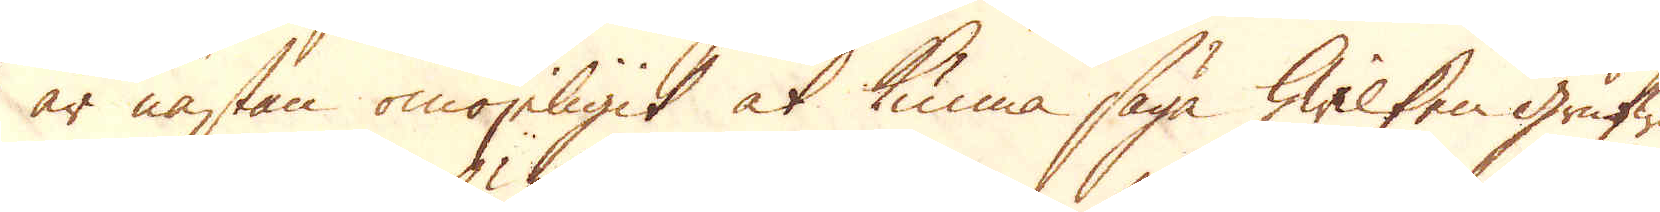är nästan omöjeligit at kunna säga hwilken grufwa
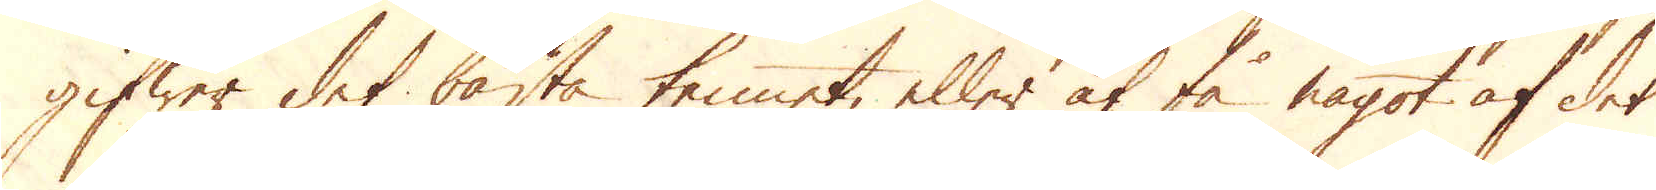gifwer det bästa tennet, eller at få något af det
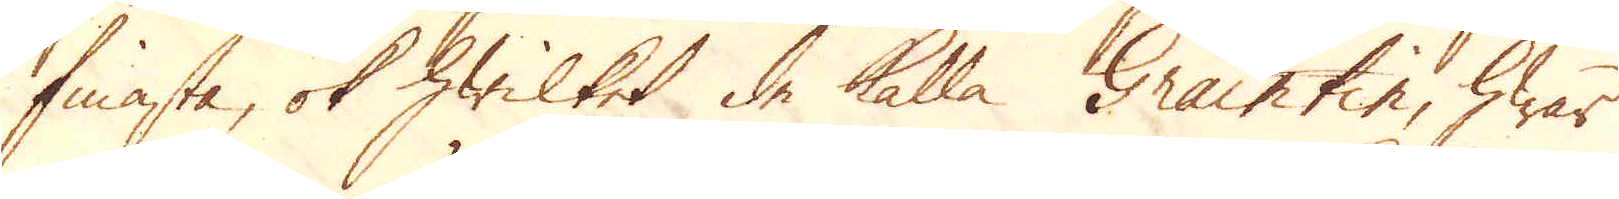finasta, ok hwilket de kalla Grain tin, hwar
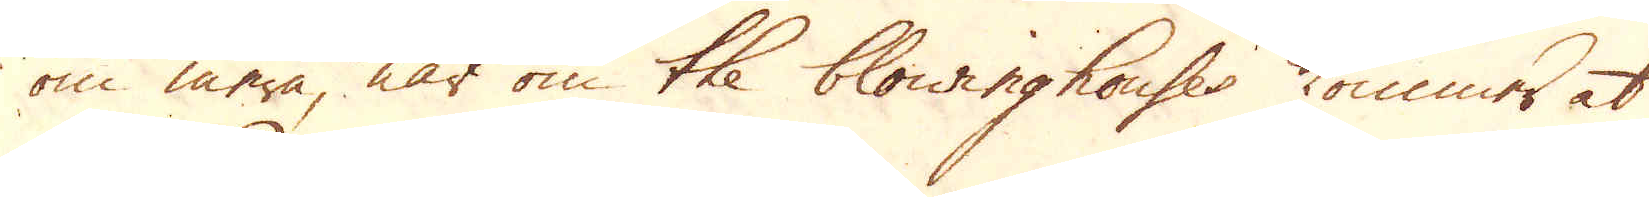om mera, när om the blowinghouses kommer at
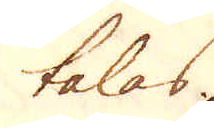talas.
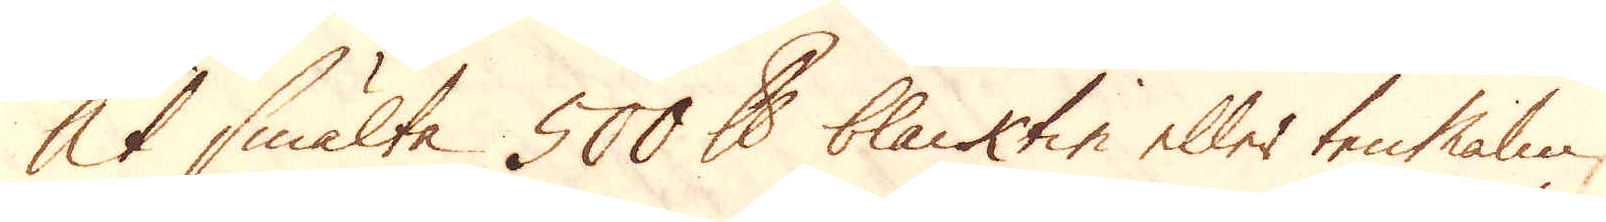At smälta 500 skålpund blacktin eller tenMalm,
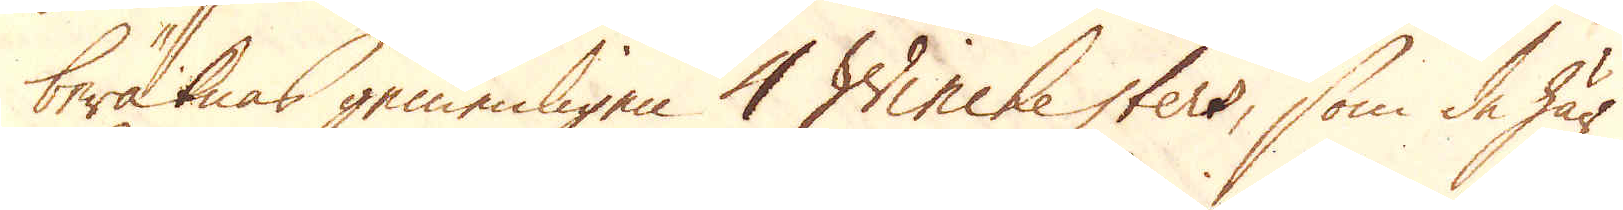beräknas gemenligen 4 Winchesters, som de här
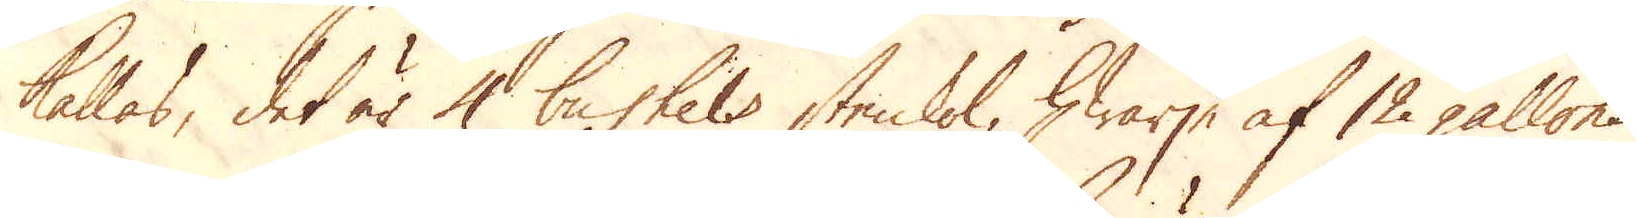kallas, det är 4 bushels stenkol, hwarje af 12 gallons
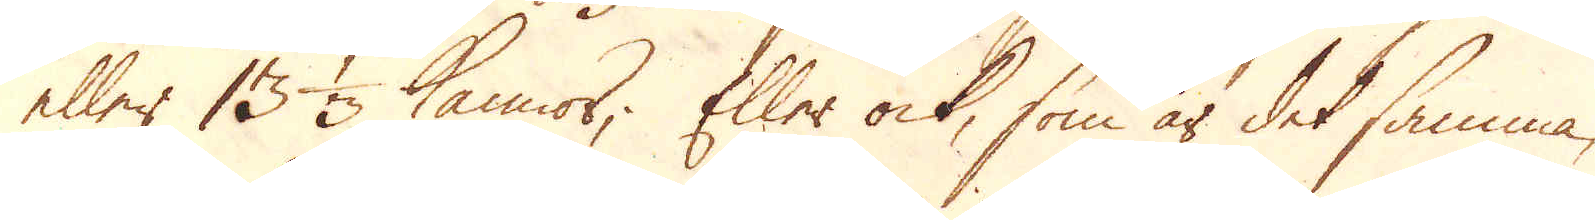eller 13 1/3 kannor; Eller ock, som är det samma,
